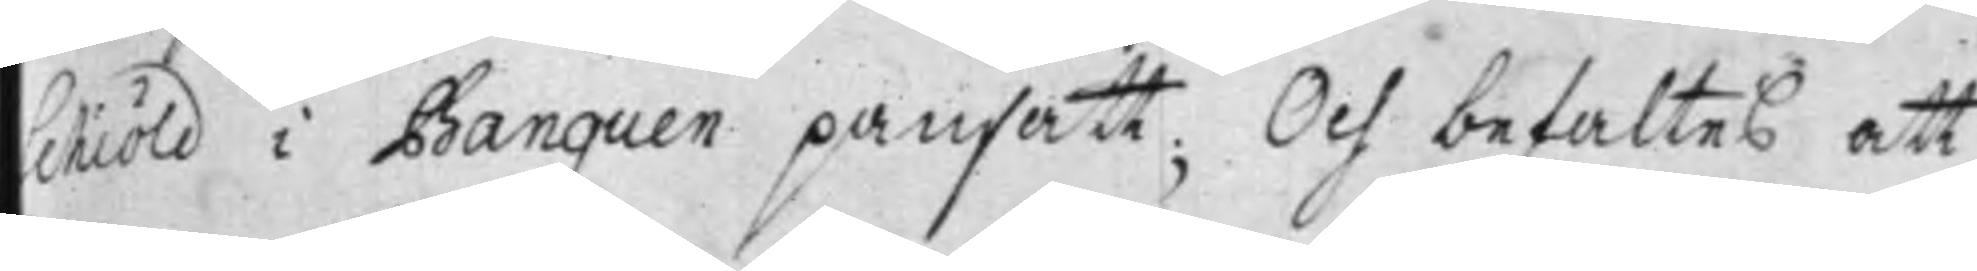Schiöld i Banquen pansatt; Och befaltes att
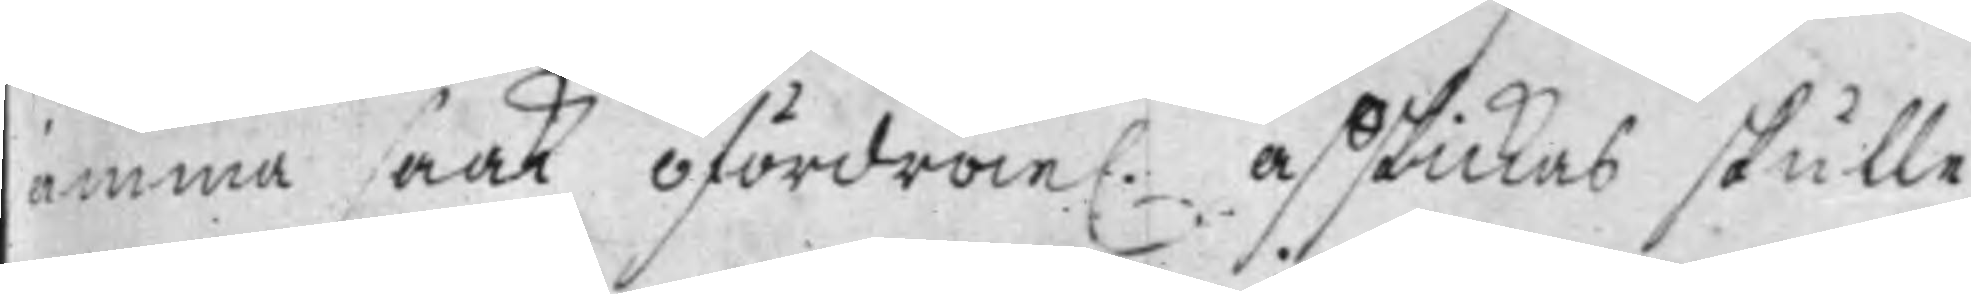samma saak ofördröie. afskickas skulle
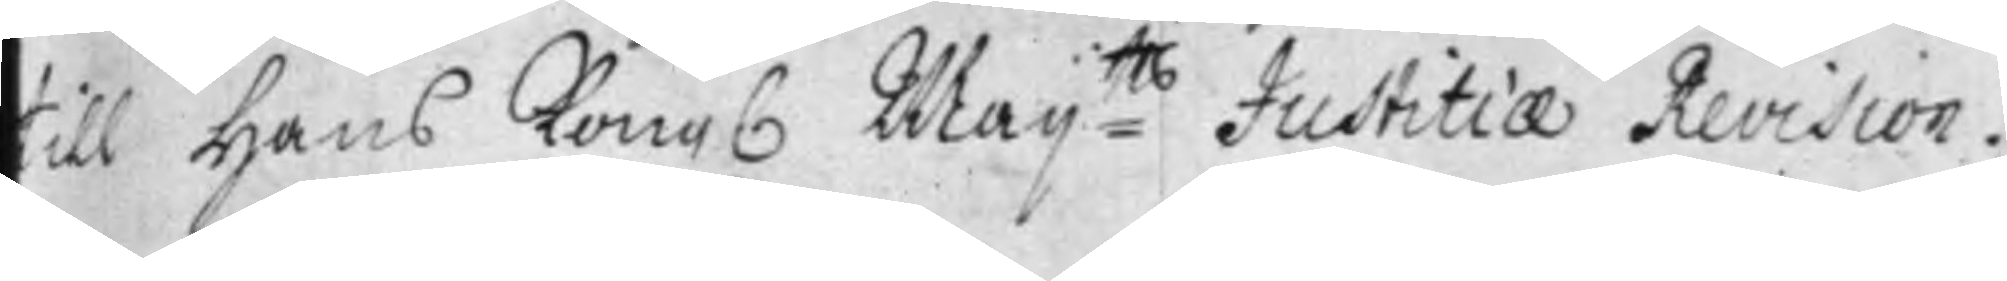till Hans Kongl Maij:tts Justitiae Revision.
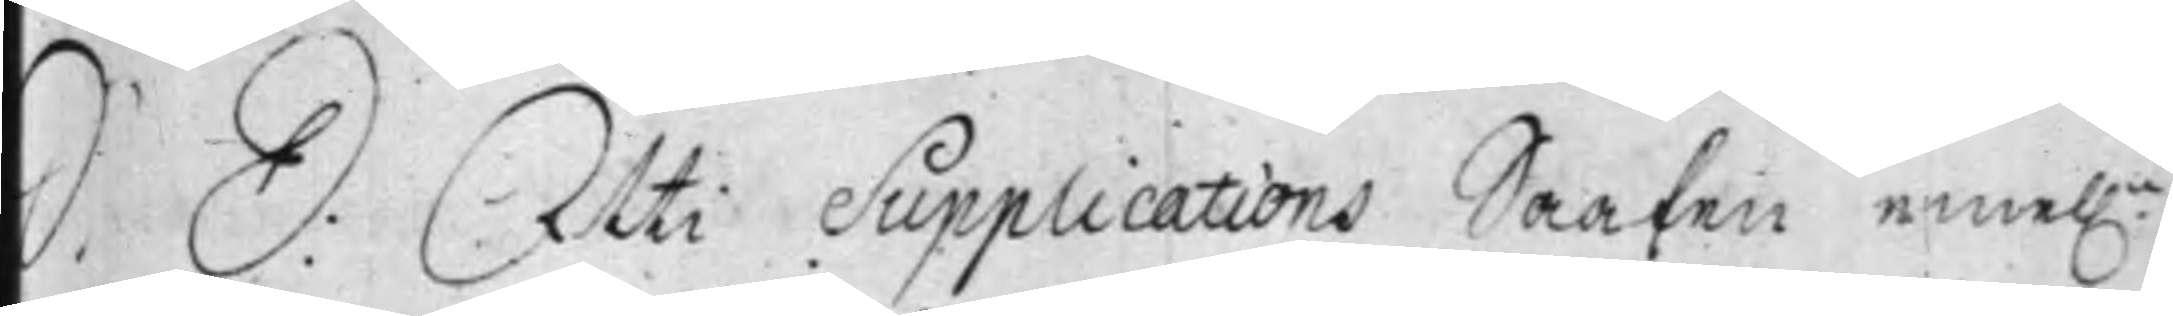S. D: Uti Supplications Saaken emel.n
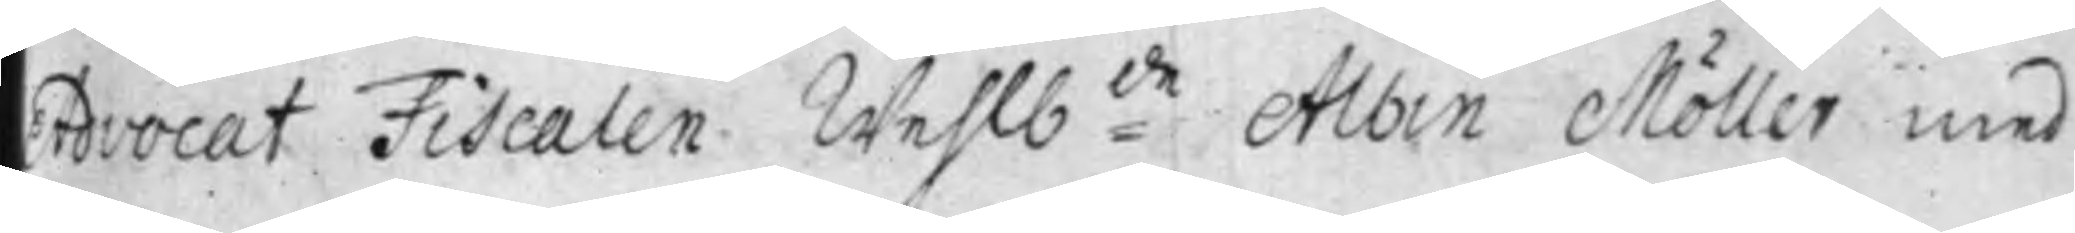Advocat Fiscalen Wehlb:de Albin Möller med
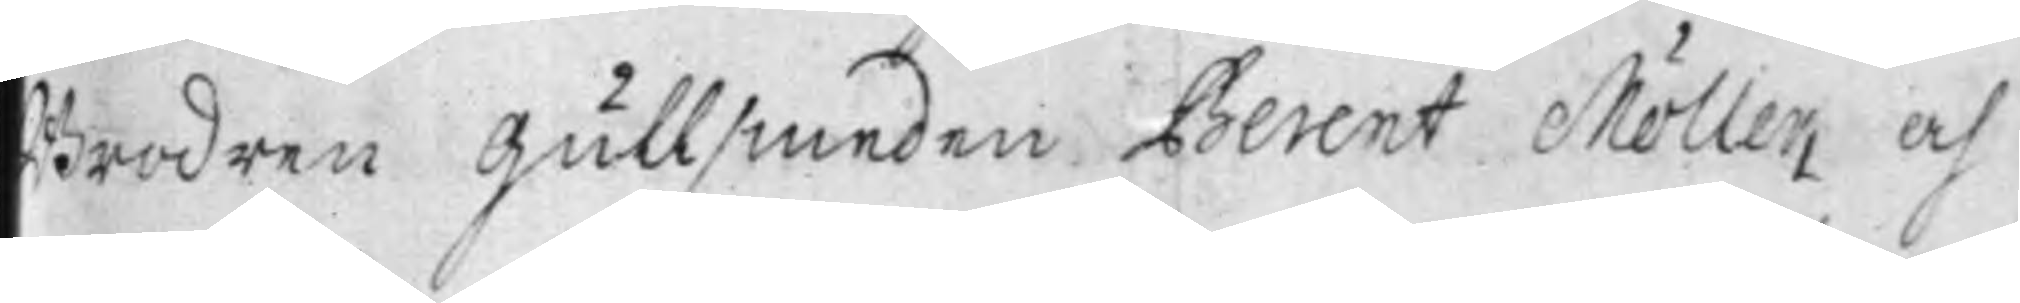Brodren Gullsmeden Berent Möller, och
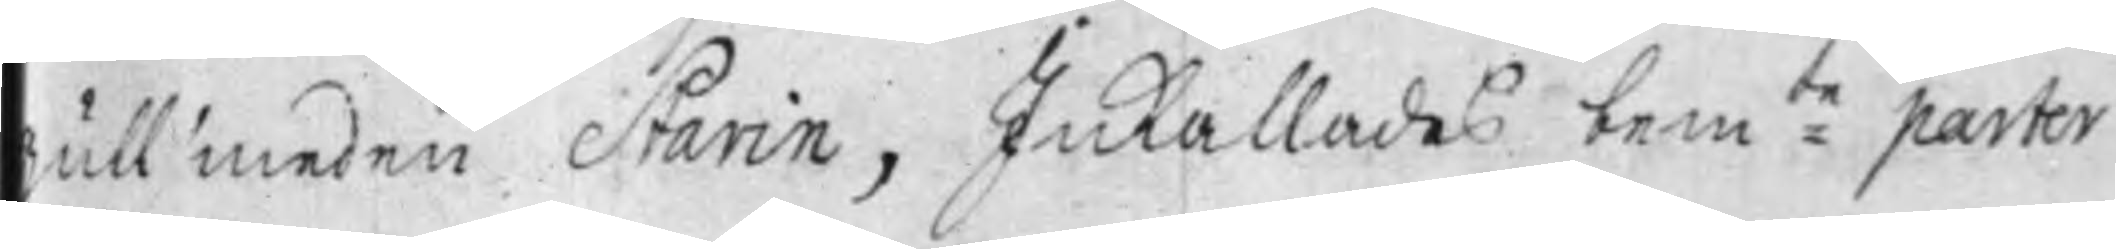ullsmeden Starin, Inkallades bem:te parter
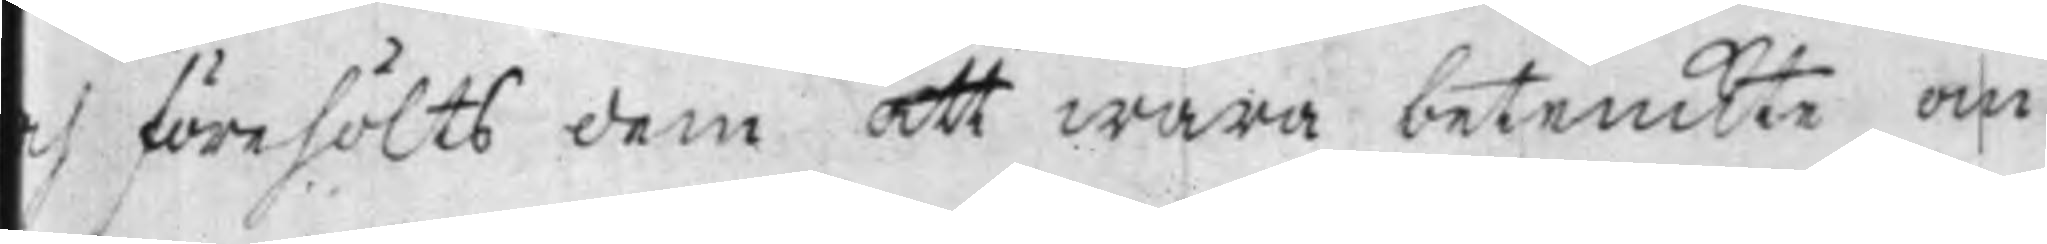ch förehölts dem att wara betenckte om
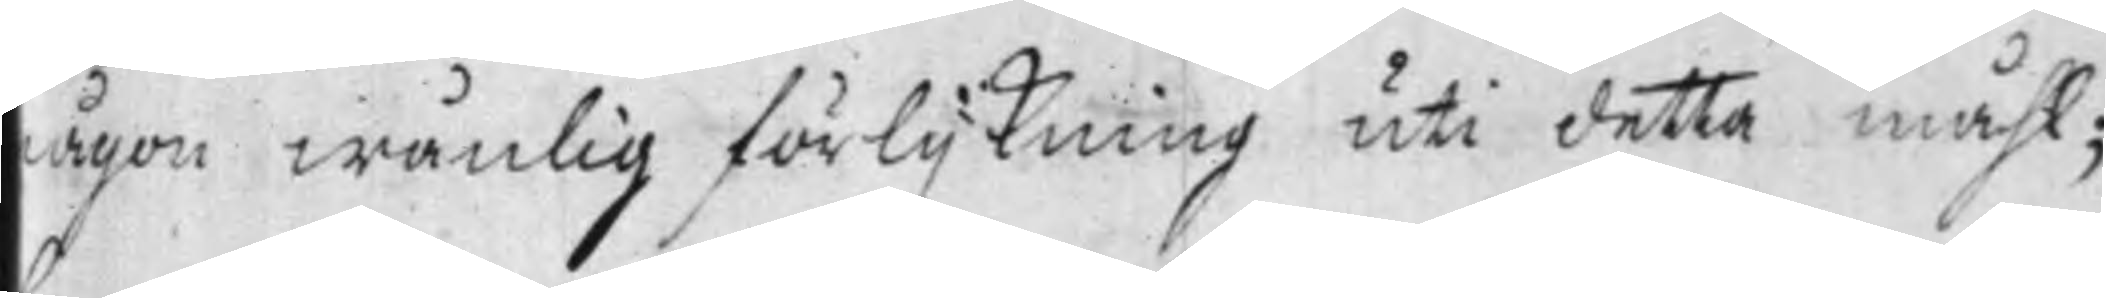någon wänlig förlijkning uti detta måhl;
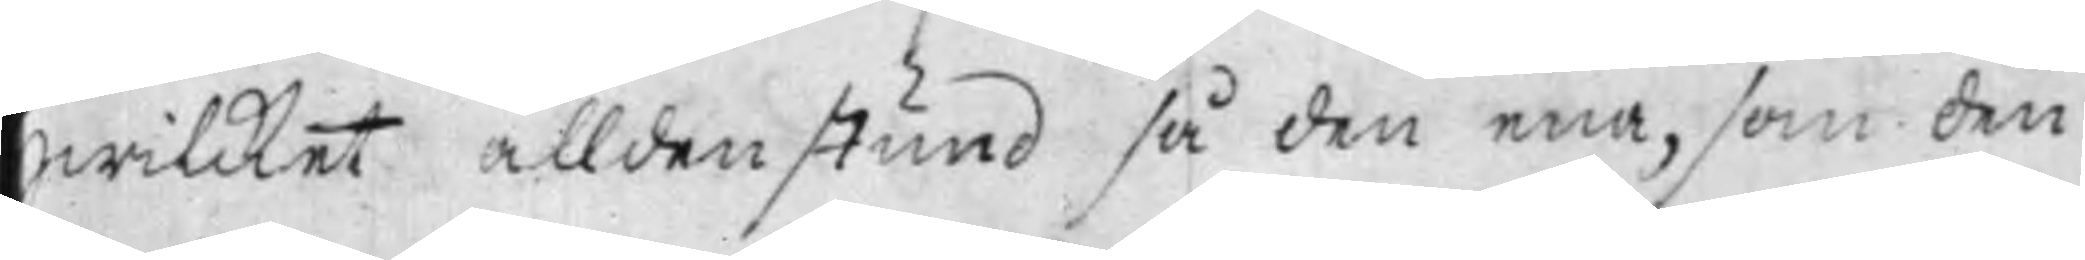hwilcket alldenstund så den ena, som den
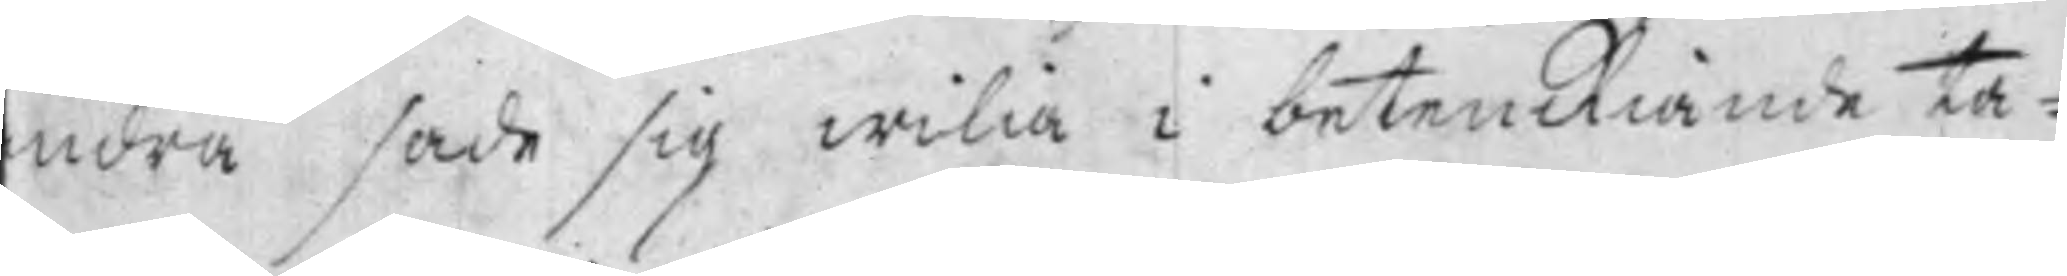ndra sade sig wilia i betenckiande ta¬
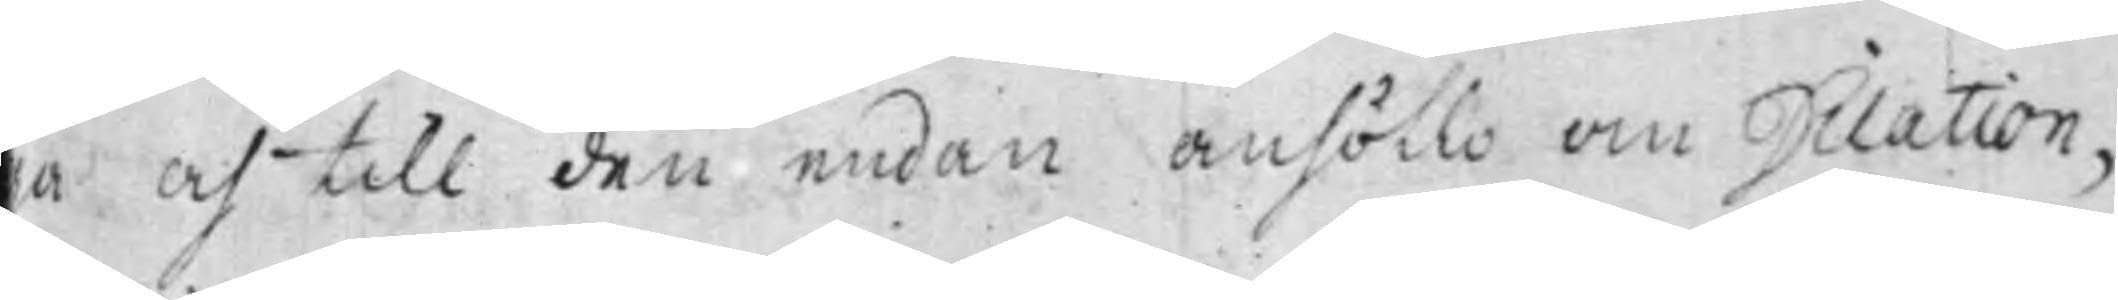a och till den endan anhöllo om Dilation,
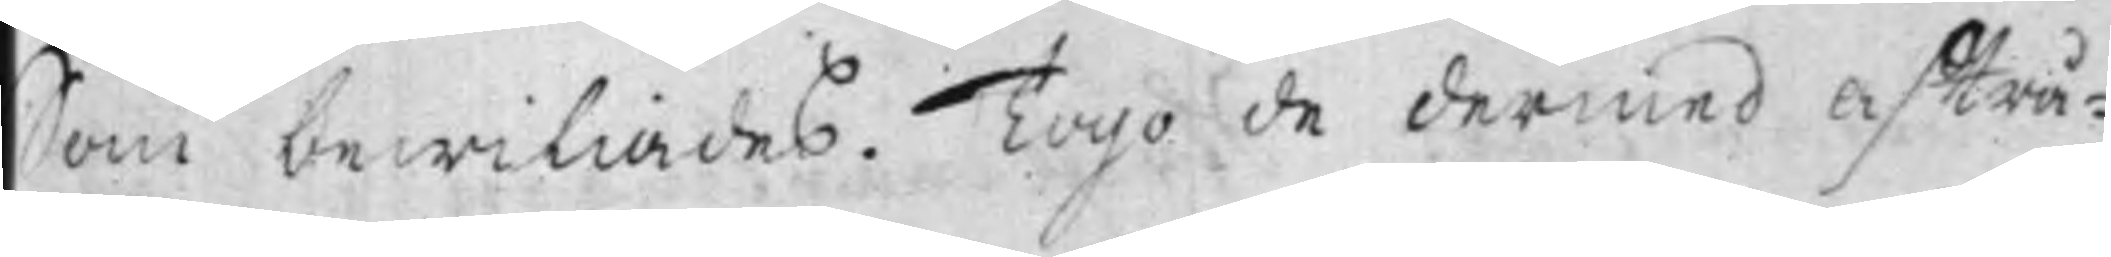Som bewiliades. Togo de dermed afträ¬
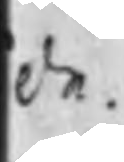de.
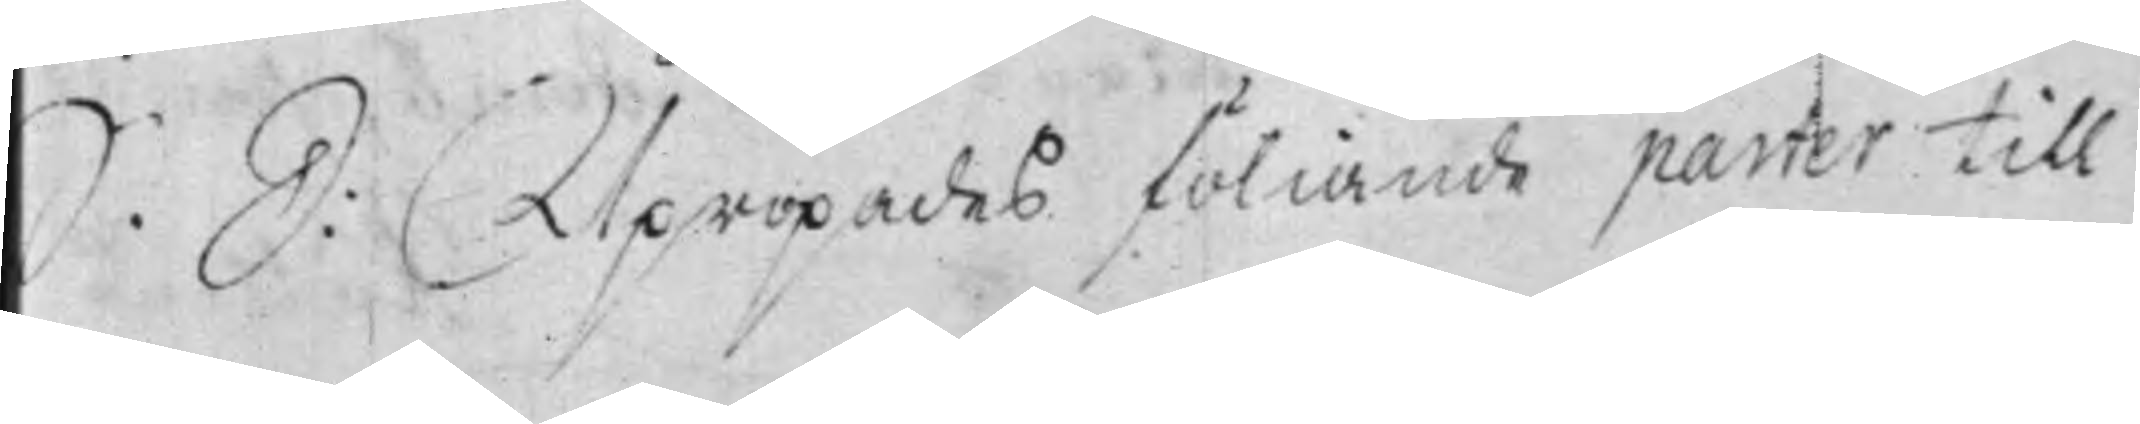S. D: Upropades föliande parter till
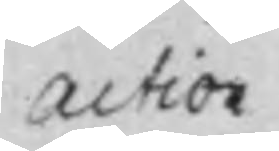action
